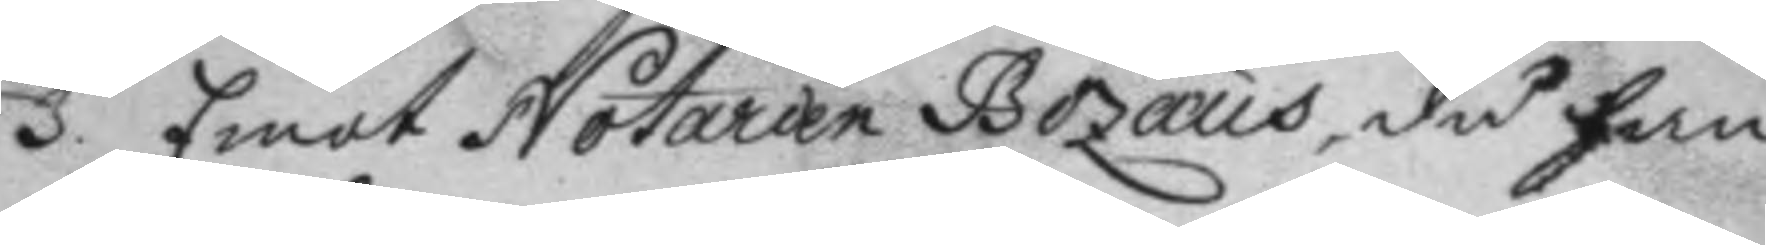3. Emot Notarien Bozæus, då han
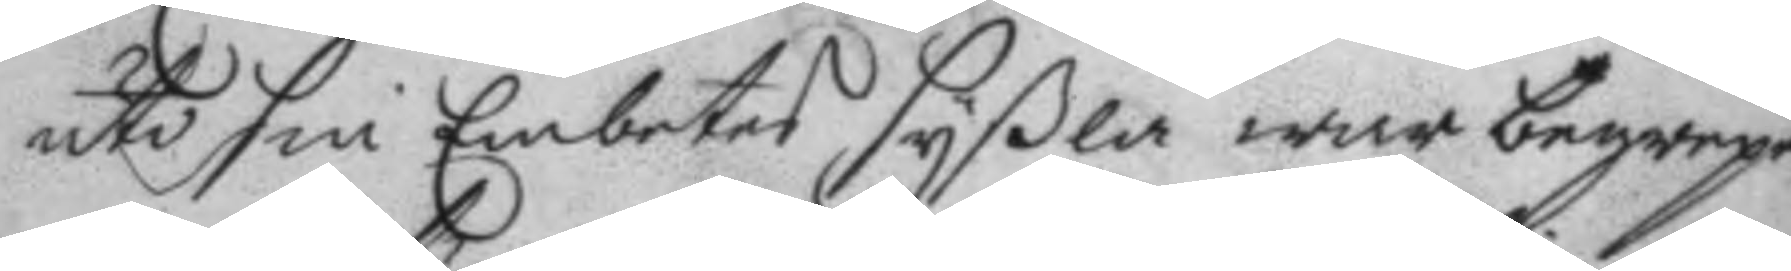uti sin Embetes Syßla war begrepen
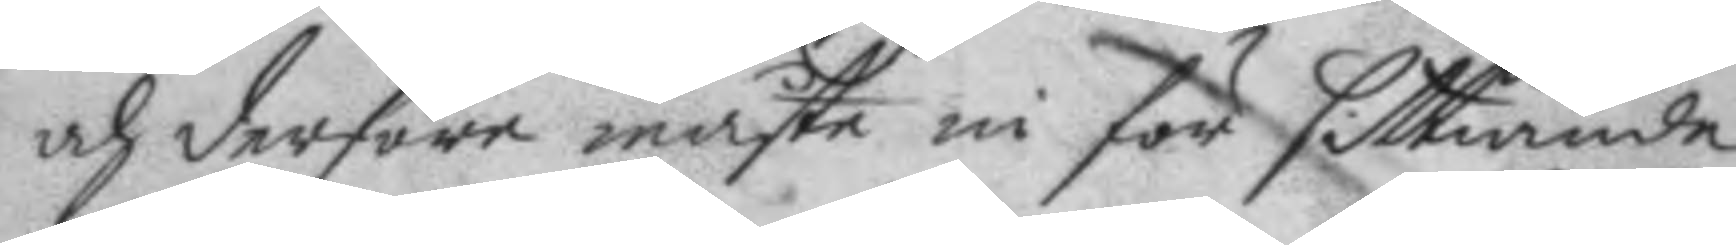och derföre måste in för sittiande
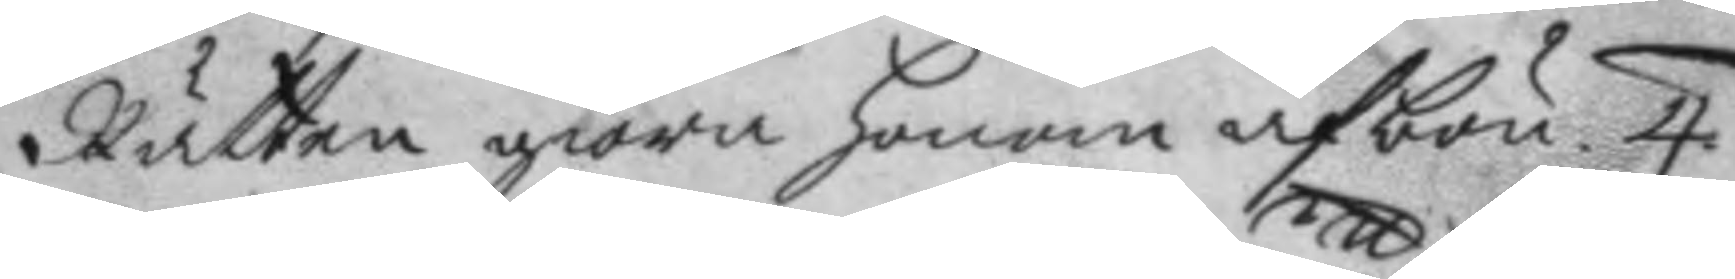Rätten giöra honom afbön. 4.
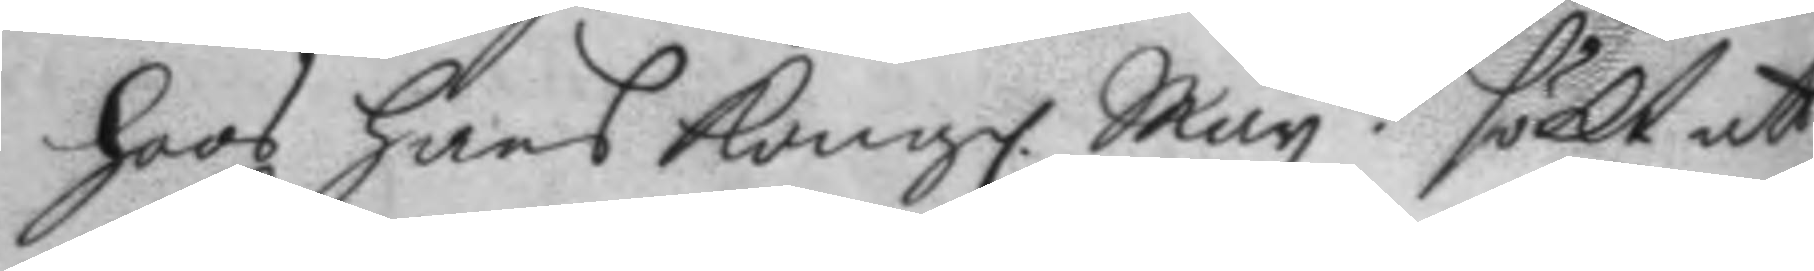hoos hans Kongl. May.tt sökt att
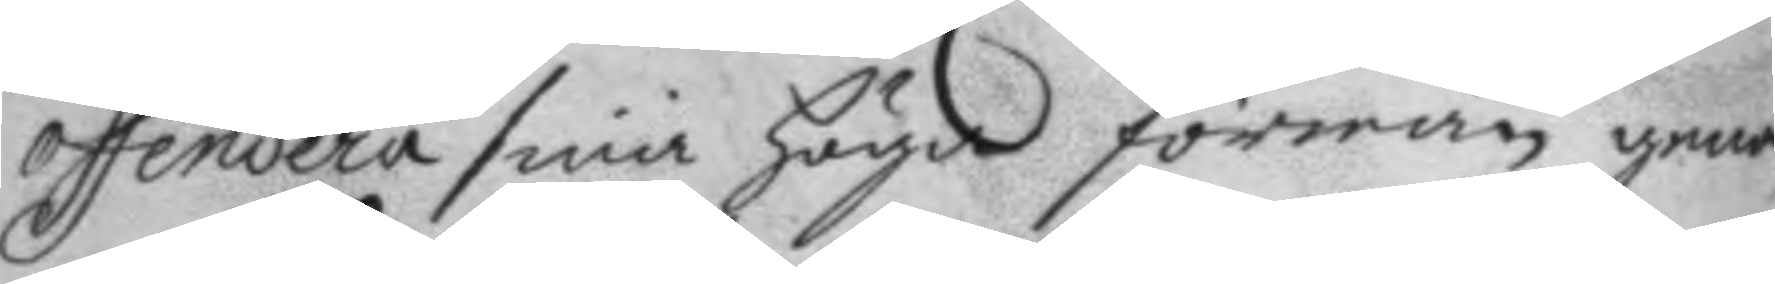offendera sina höga förmän genom
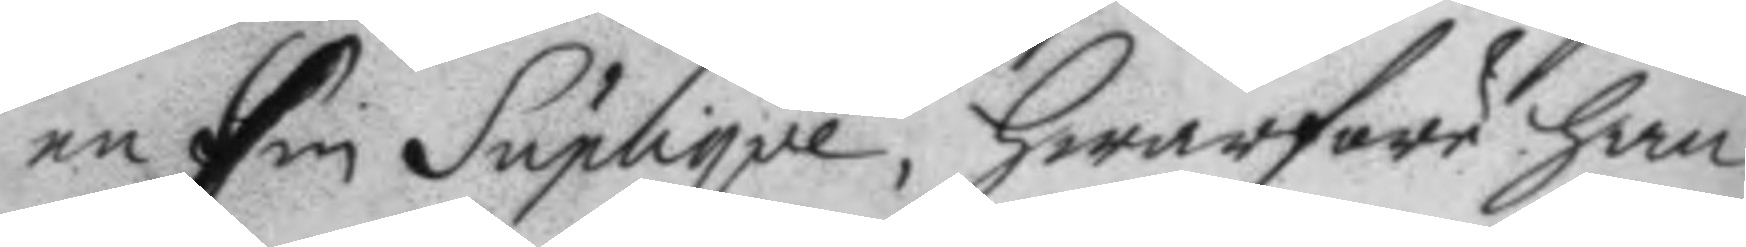en sin Suplique, hwarföre han
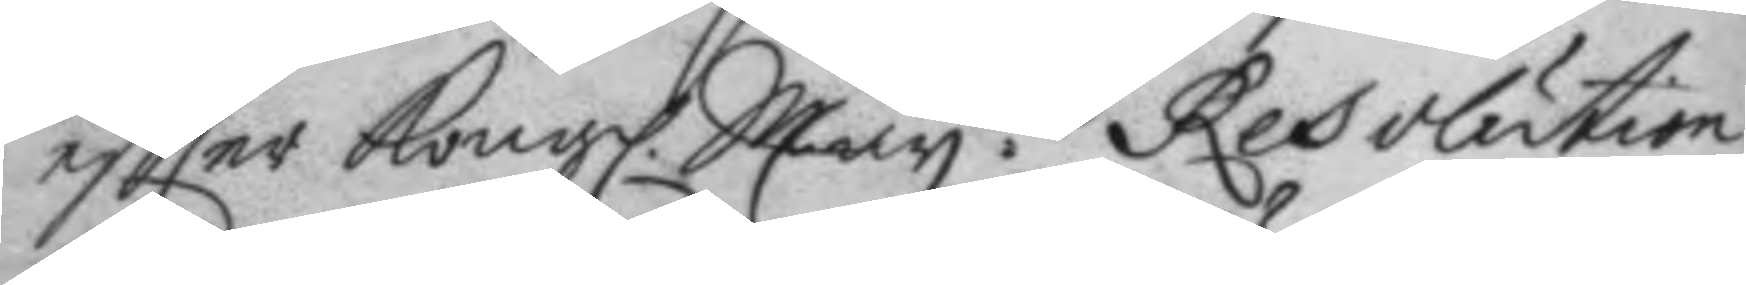eftter Kongl. May.ttz Resolution
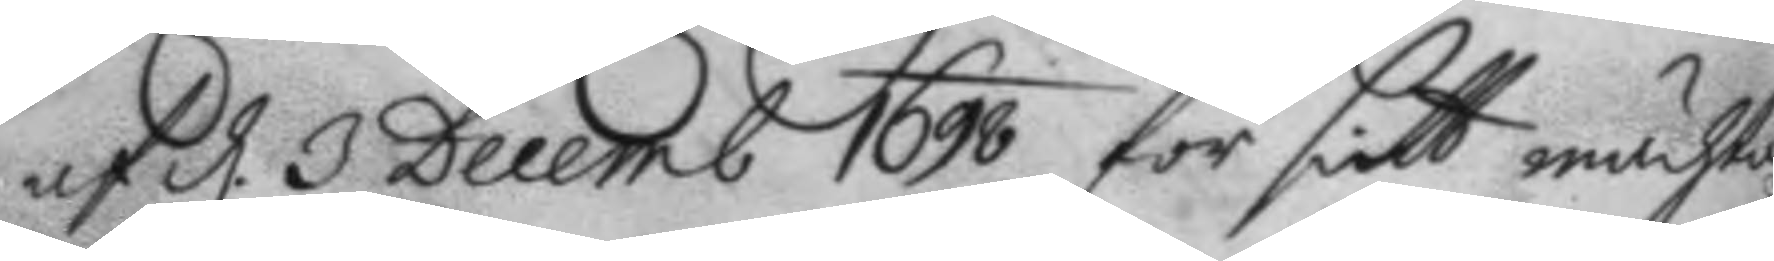af d. 3 Decemb 1698 för sitt mächta
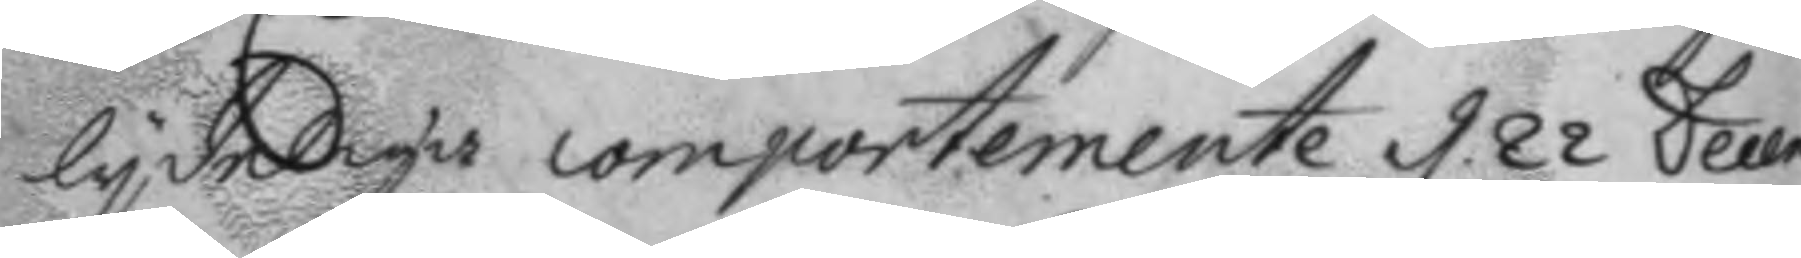lydeliga comportemente d. 22 Decem
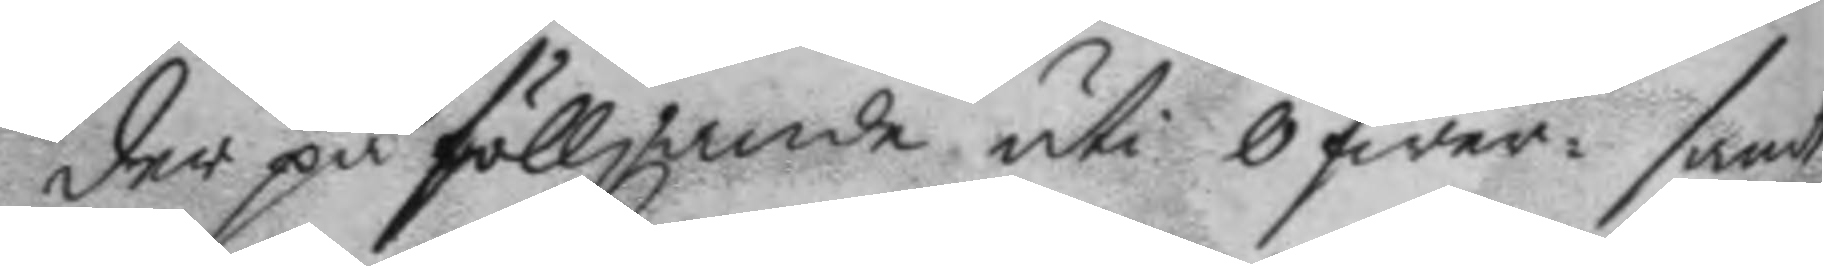der på fölljande uti öfwer- samt
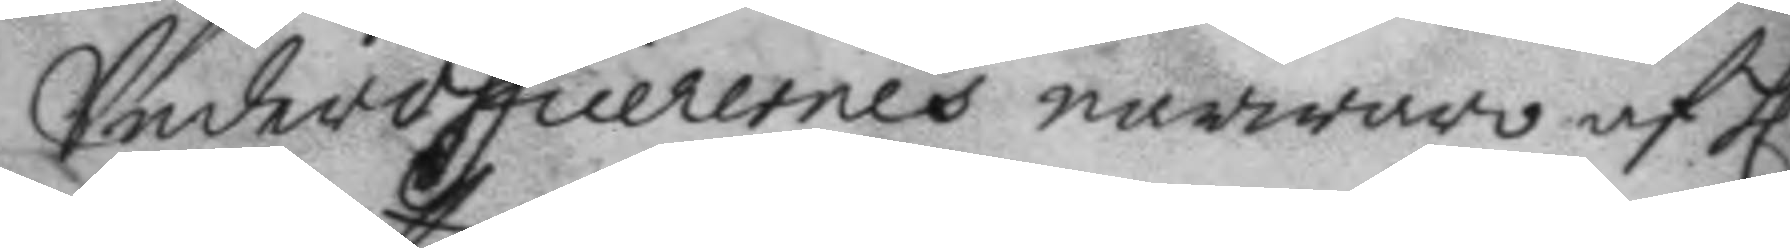Underofficerernes narwaro af h.
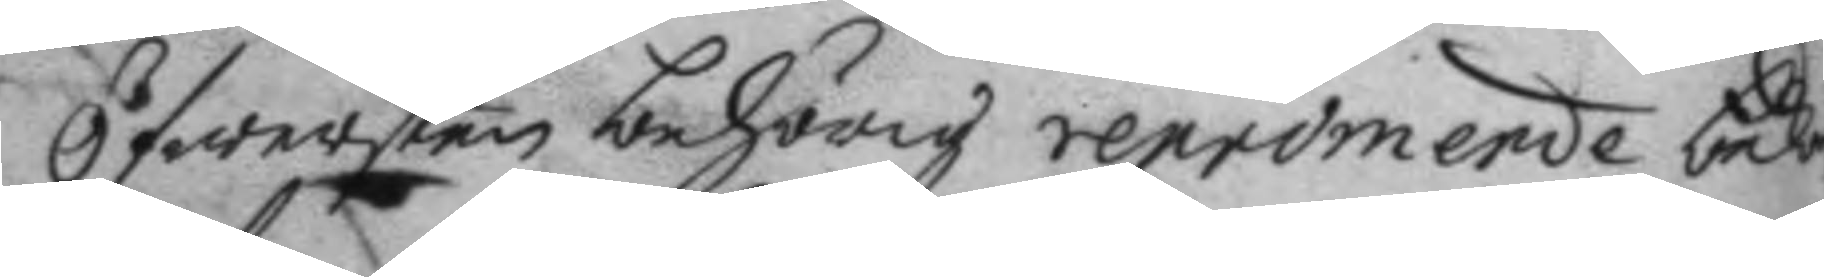Öfwersten behörig repromende bed
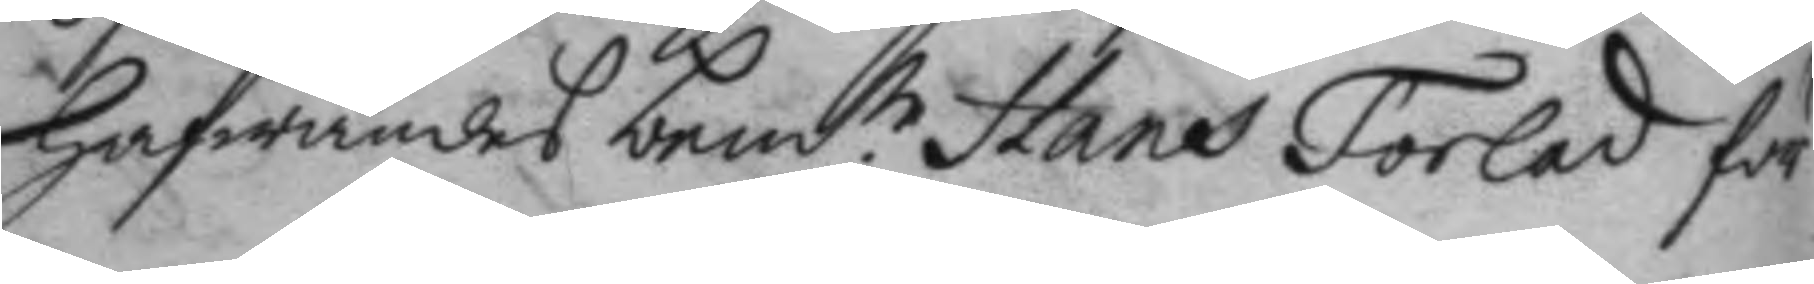hafwandes bem.te Hans Förlad för
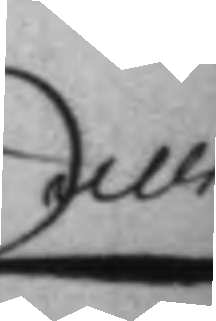alle
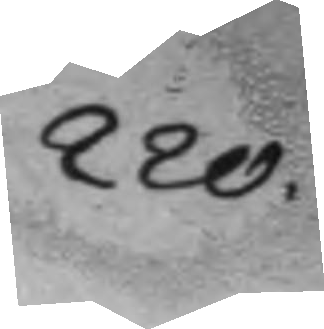220.
